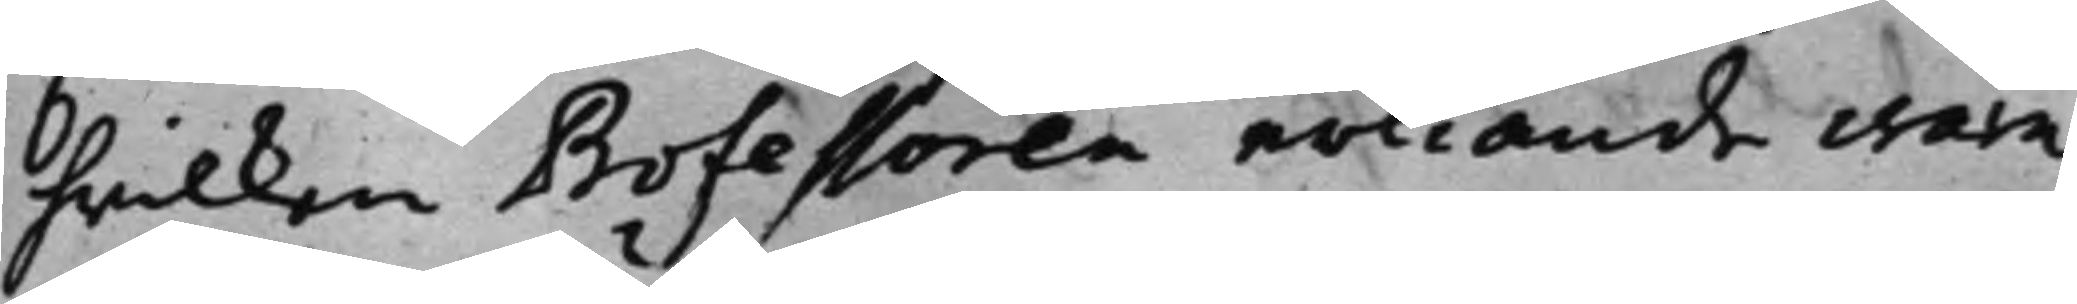hwilken Professoren erkiände wara
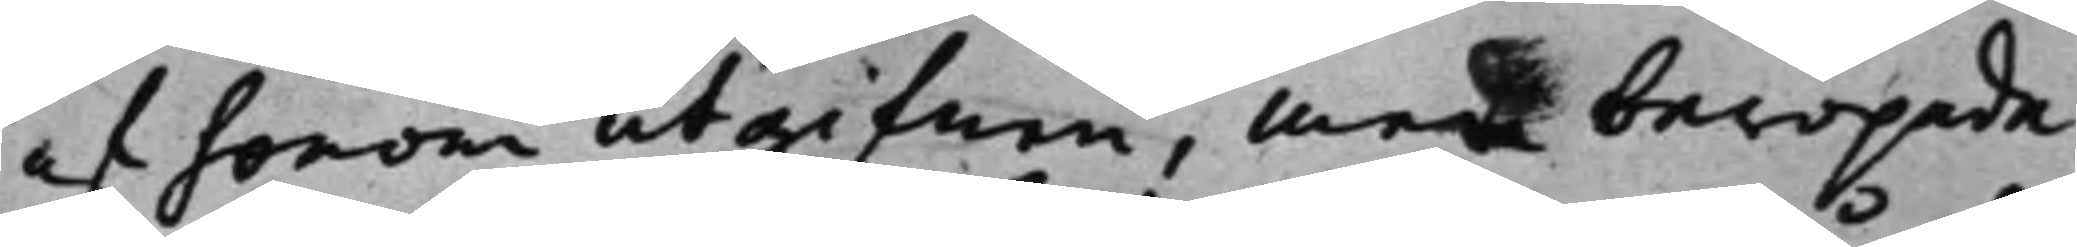af honom utgifnen, men beropade
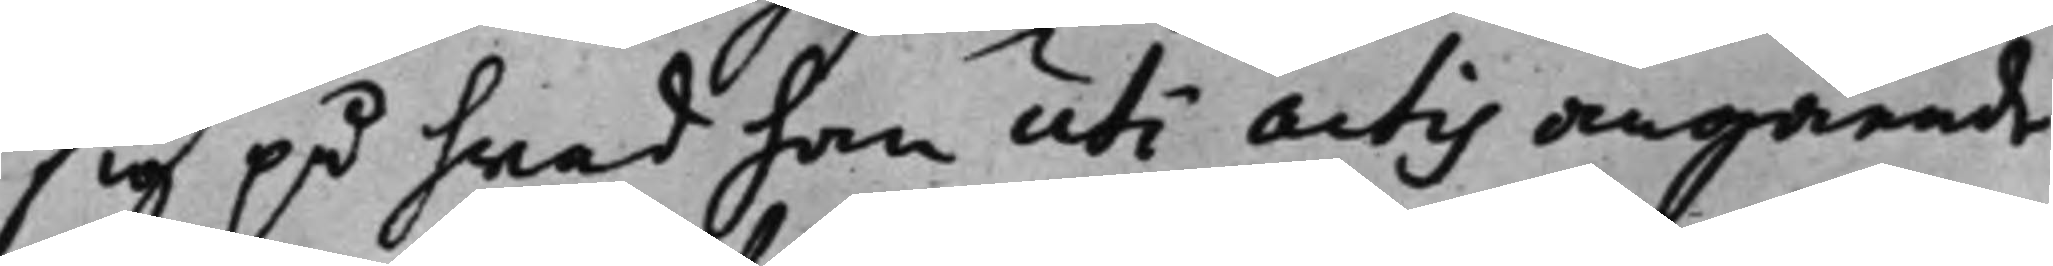sig på hwad han uti actis angående
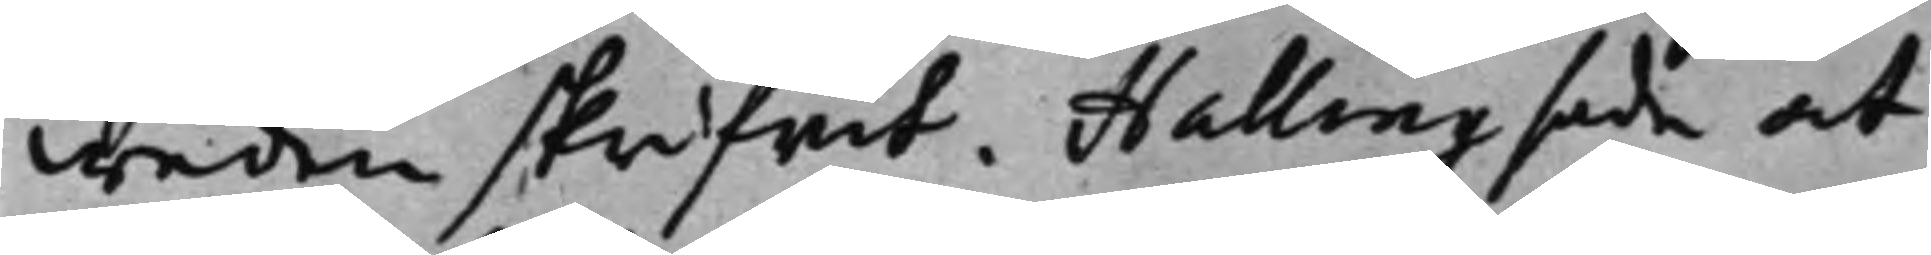weden skrifwit. Halling sade at
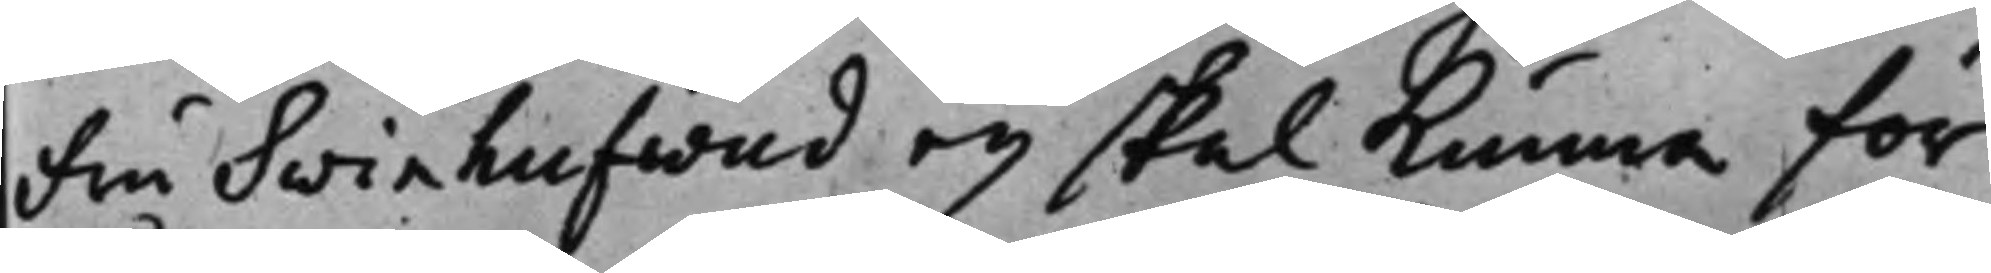Fru Svinhufwud eij skal kunna för¬
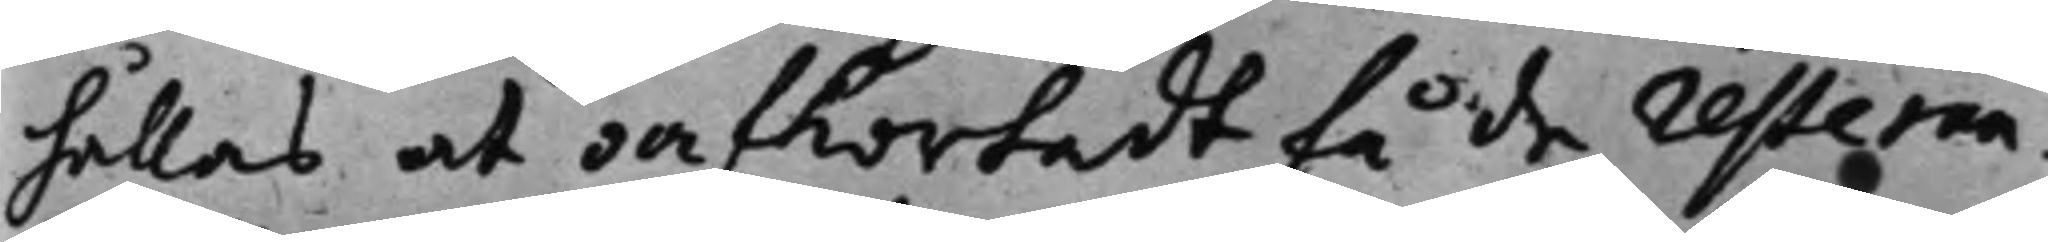hållas at oafkortadt få de resteran¬
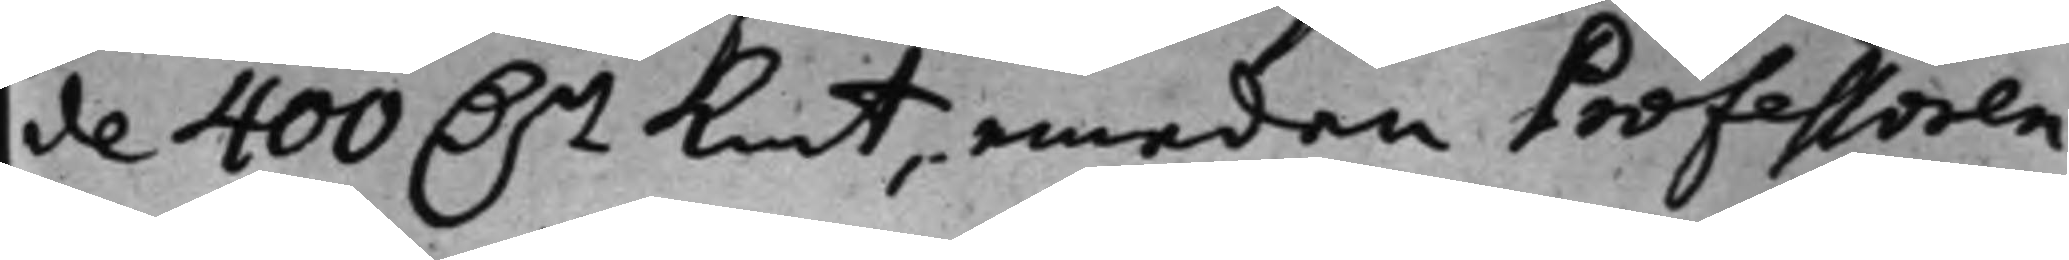de 400 D.r Kmt emedan Professoren
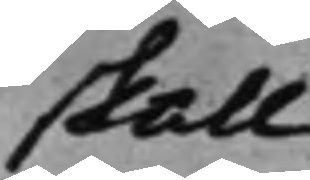skall
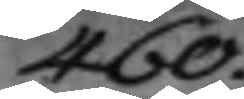460.
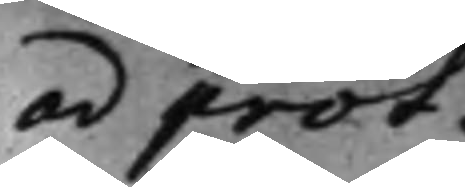ad prot.
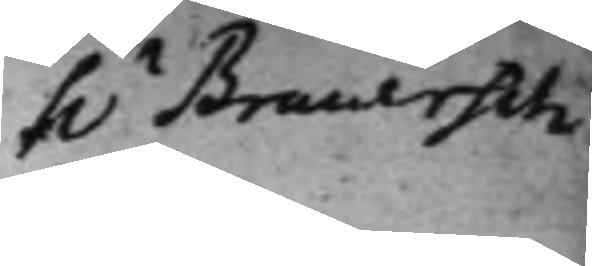h.r Brauersch
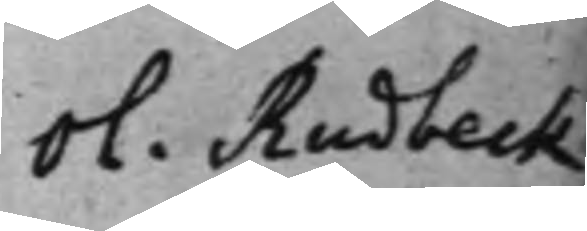Ol. Rudbeck
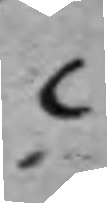C
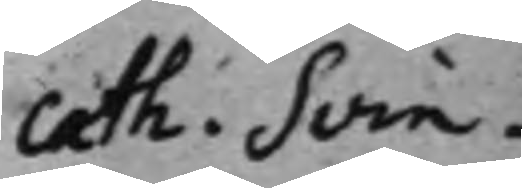Cath. Svin¬
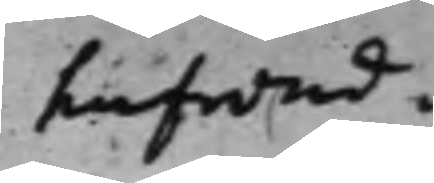hufwud.
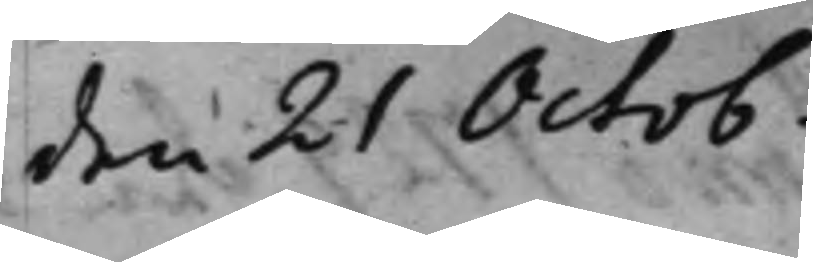den 21 Octob.
